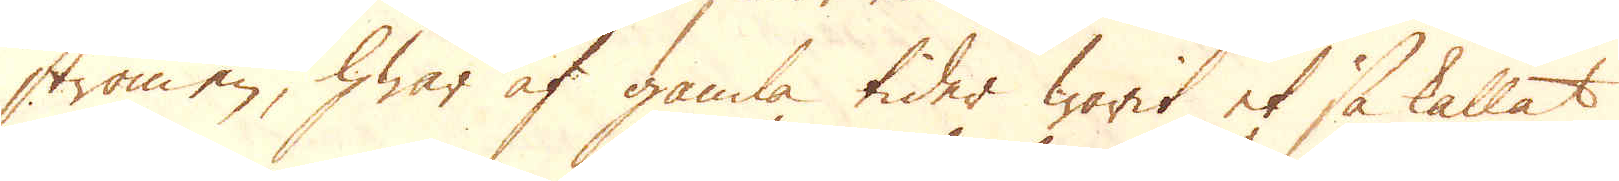strömen, hwar af gamla tider warit et så kallat
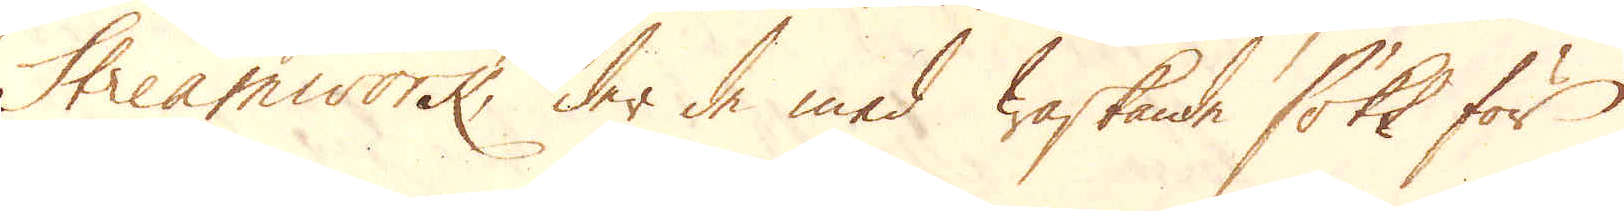Streamwork, der de med waskande sökt för
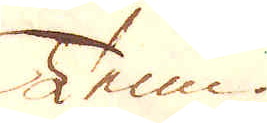Tenn.
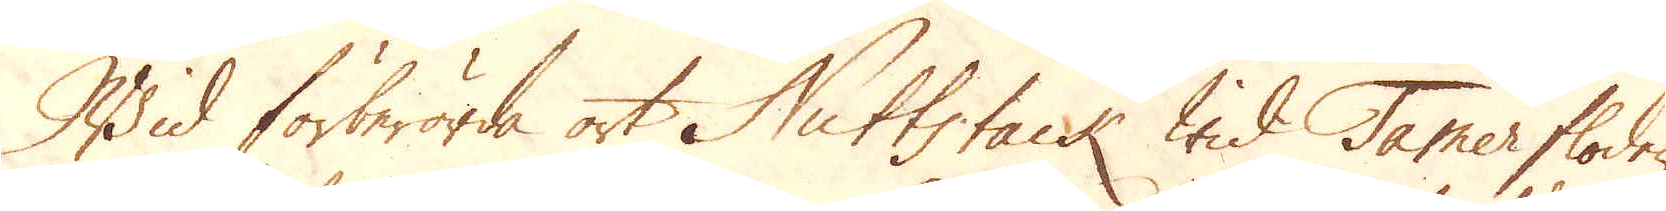Wid förberörda ort Nuttstack wid Tamerfloden
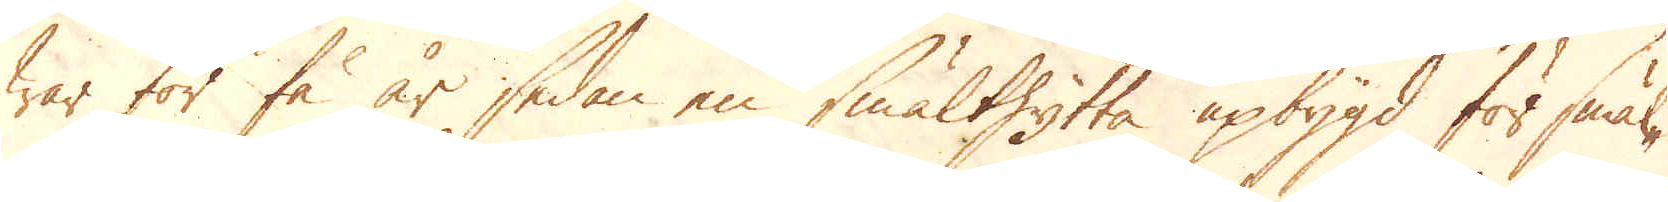war för få år sedan en smälthytta upbygd för smäl-
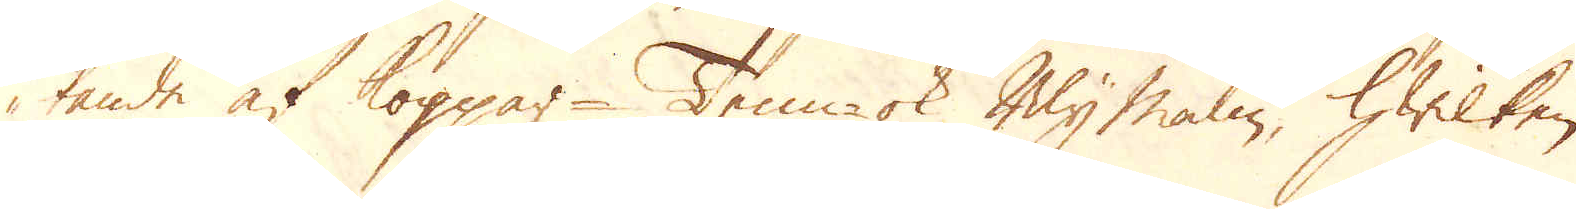tande af Koppar- Tenn- ok Bly malm, hwilken
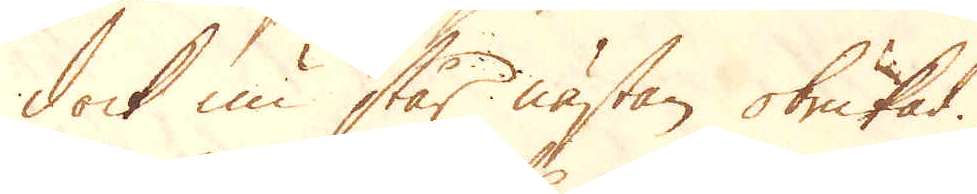dock nu står nästan obrukad.
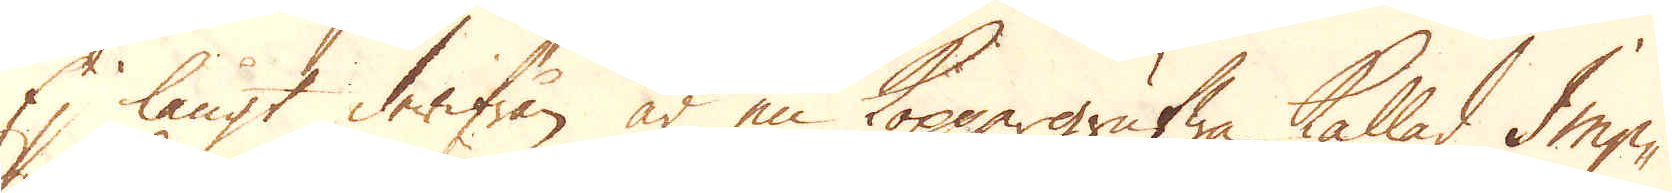Ej långt derifrån är en Koppargrufwa kallad Imp-
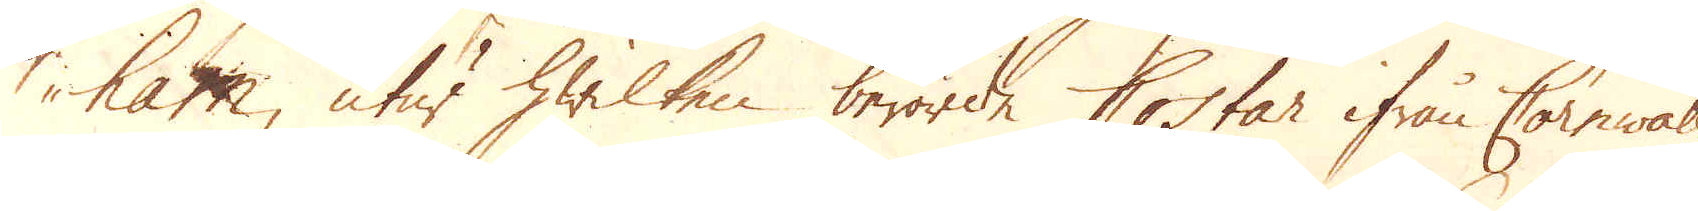ham, utur hwilken berörde Costar ifrån Cornwall
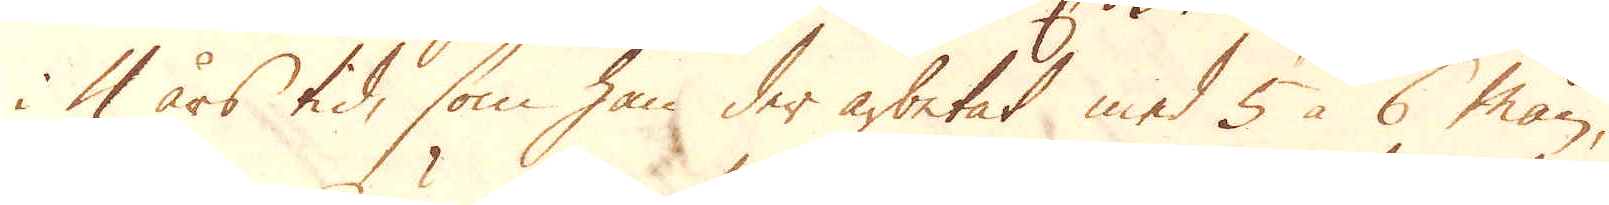i 4 års tid, som han der arbetat med 5 à 6 män,
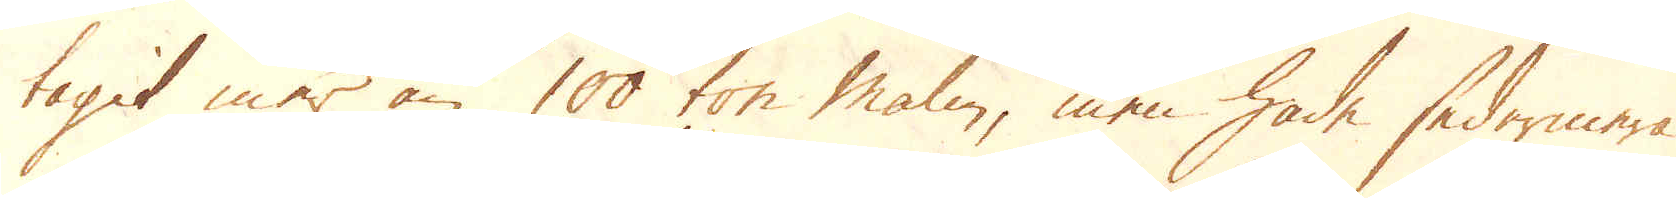tagit mer än 100 ton malm, men hade sedermera
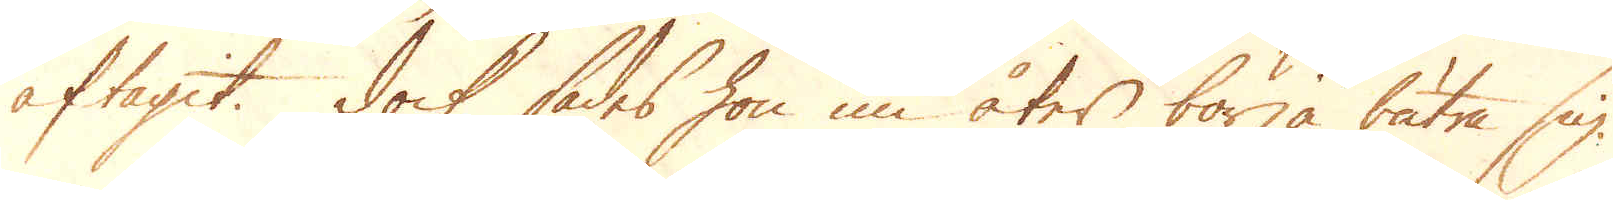aftagit. Dock sades hon nu åter börja bätra sig.
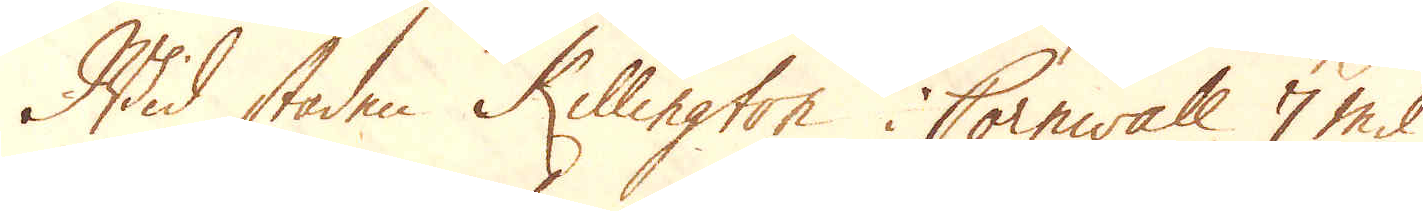Wid staden Killington i Cornwall 7 mil
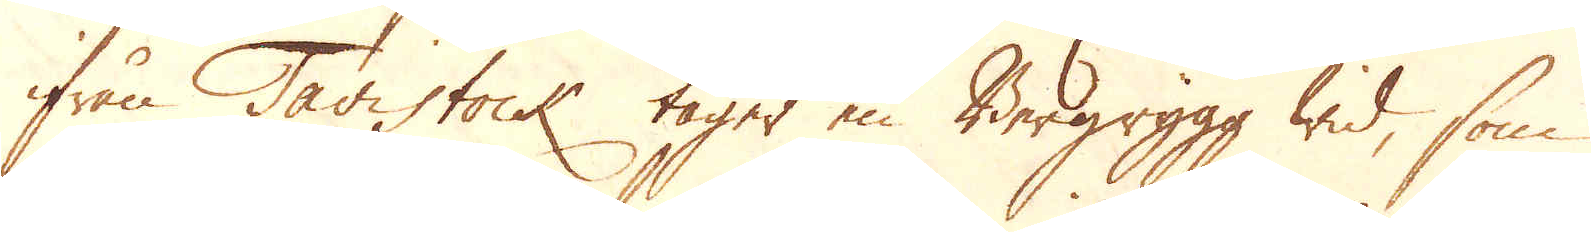ifrån Tavistock tager en Bergrygg wid, som
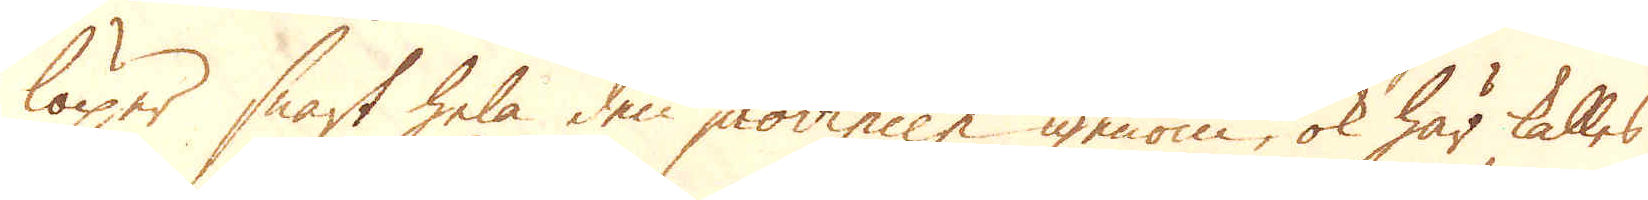löper snart hela den provincen igenom, ok här kalles
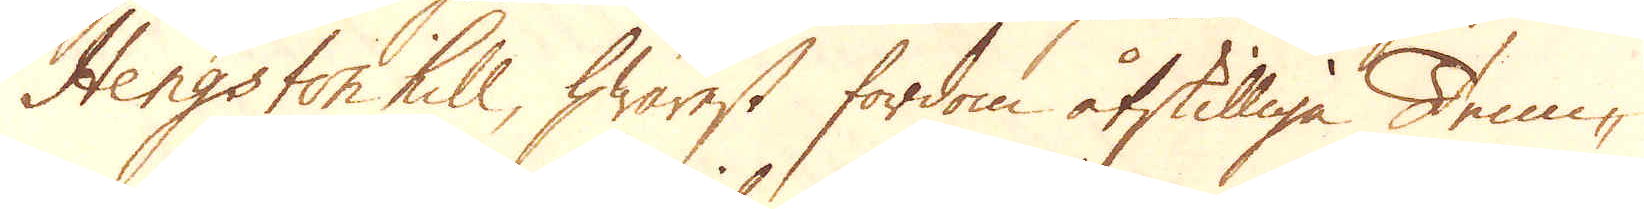Hengston hill, hwarest fordom åtskilliga Tenn-
